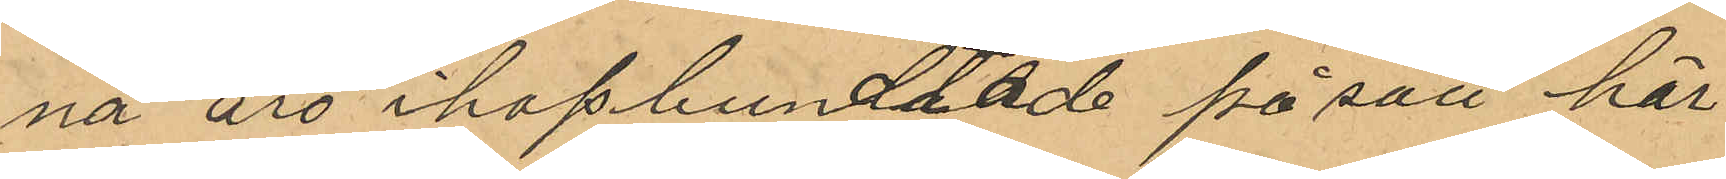na äro ihopbundtade på sätt här
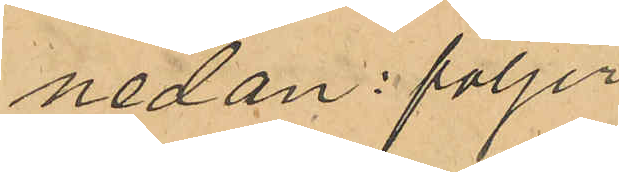nedan följer
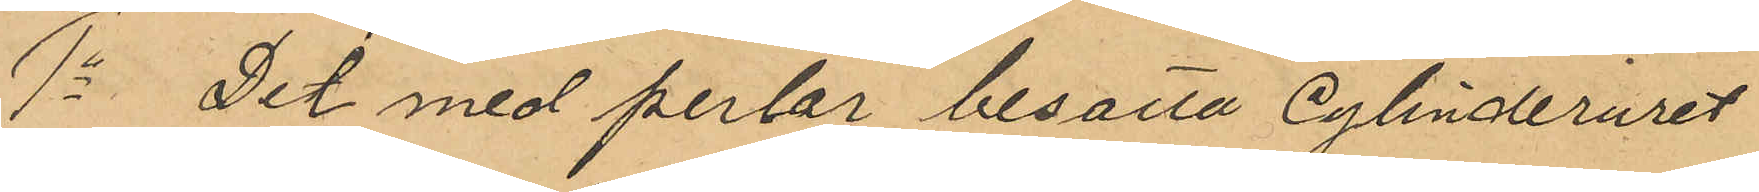1o Det med perlor besatta cylinderuret
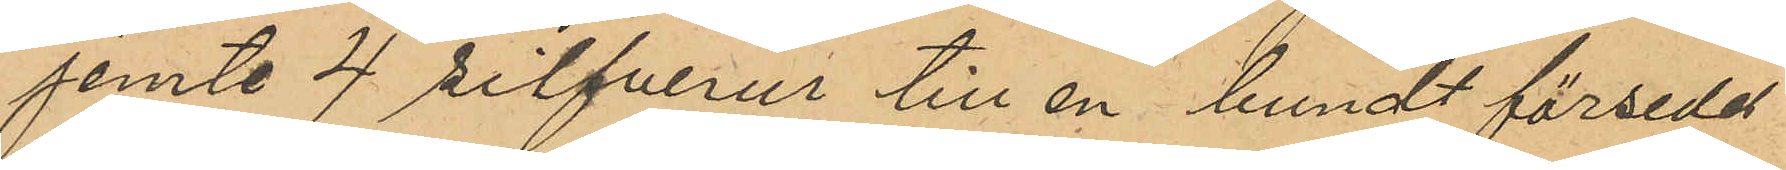jemte 4 silfverur till en bundt försedd
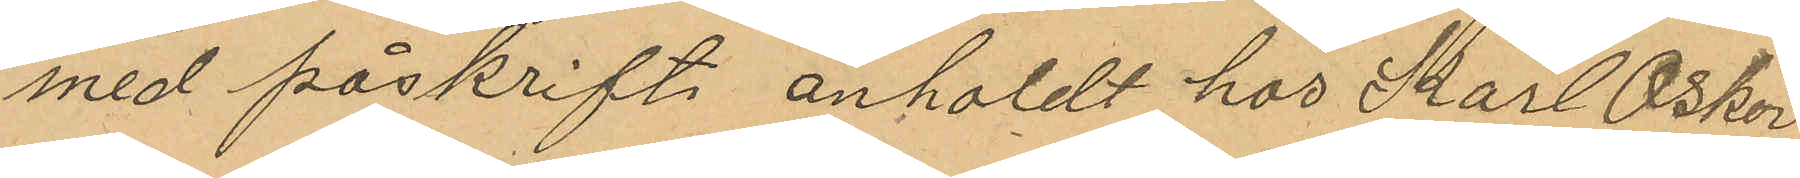med påskrift anholdt hos Karl Oskar
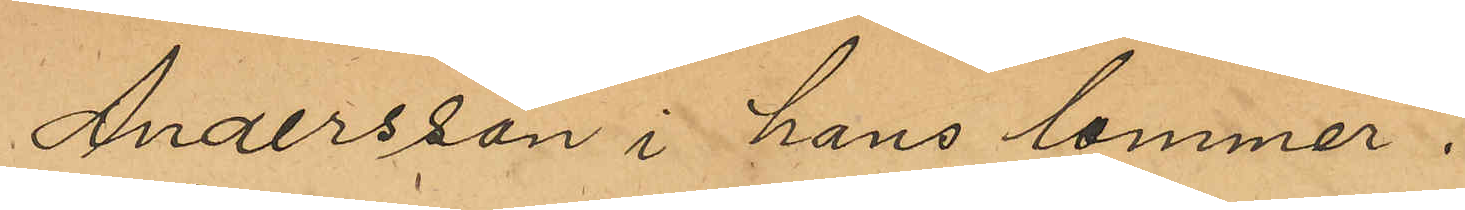Andersson i hans lommer".
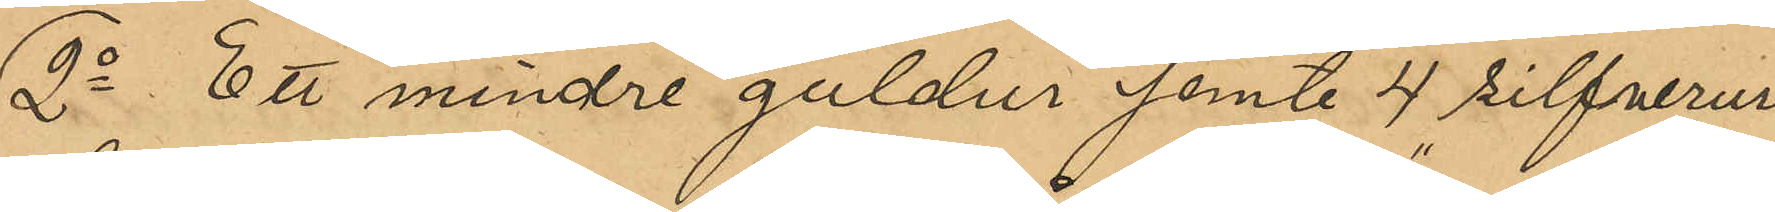2o Ett mindre guldur jemte 4 silfverur
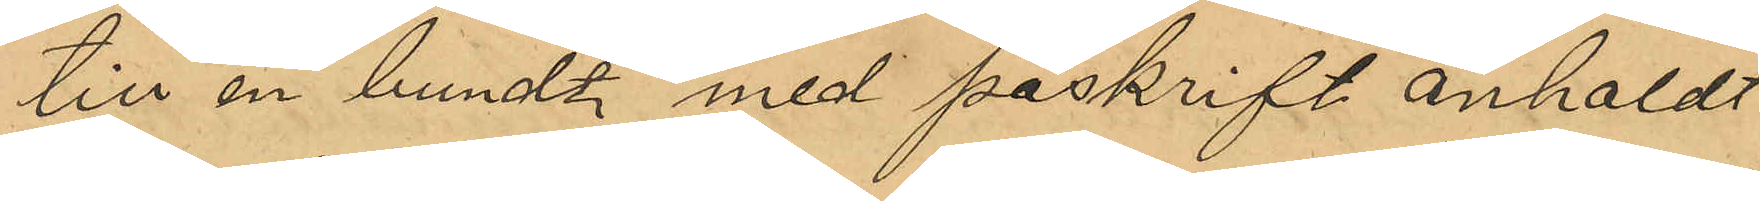till en bundt med påskrift "anholdt
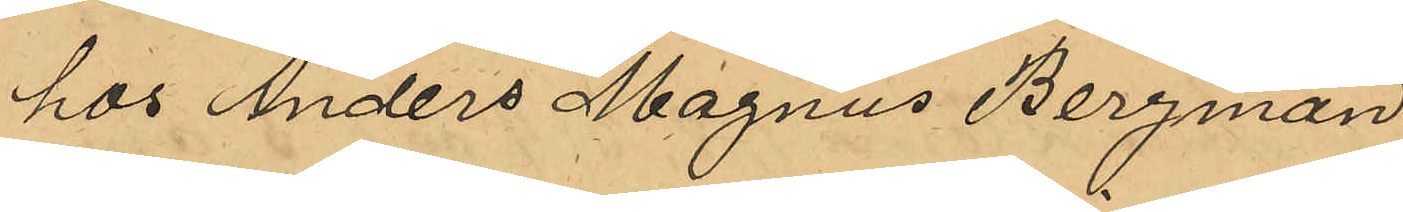hos Anders Magnus Bergman".
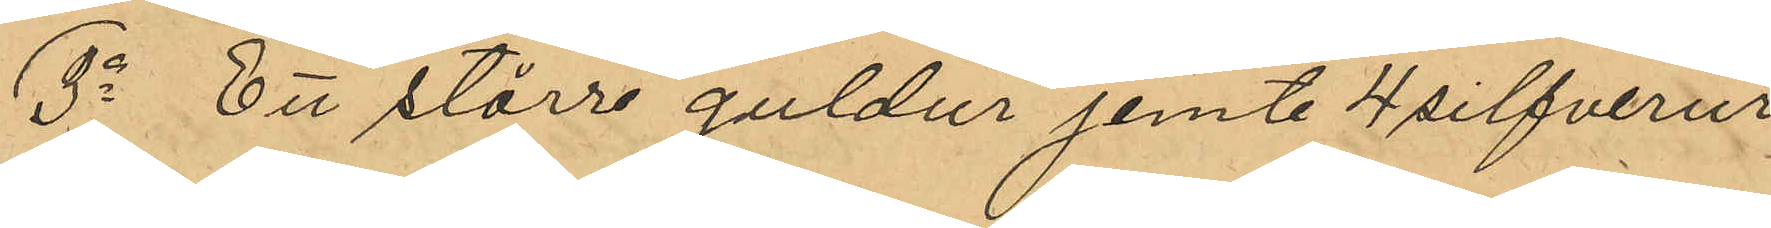3o Ett större guldur jemte 4 silfverur
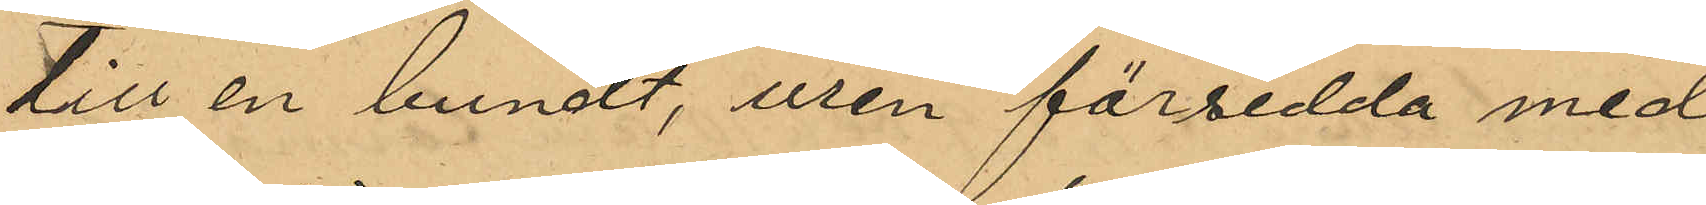till en bundt, uren försedda med
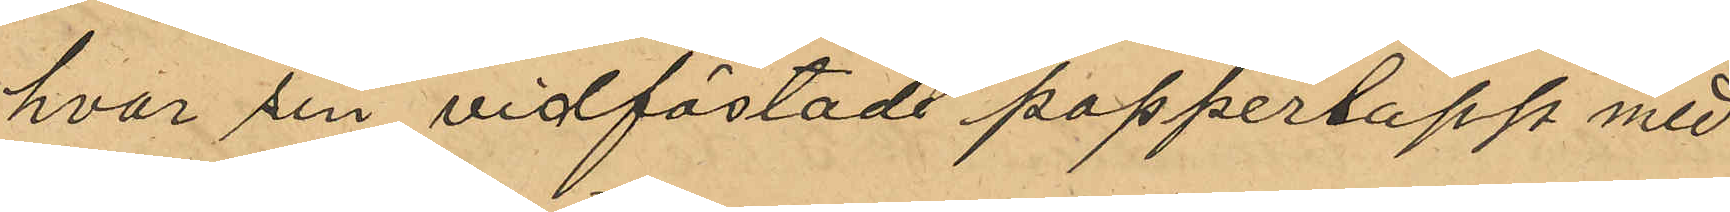hvar sin vidfästade papperslapp med
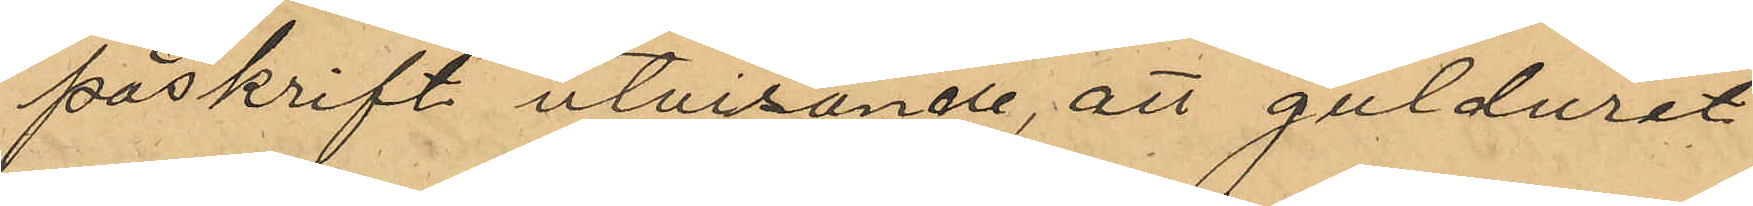påskrift utvisande, att gulduret
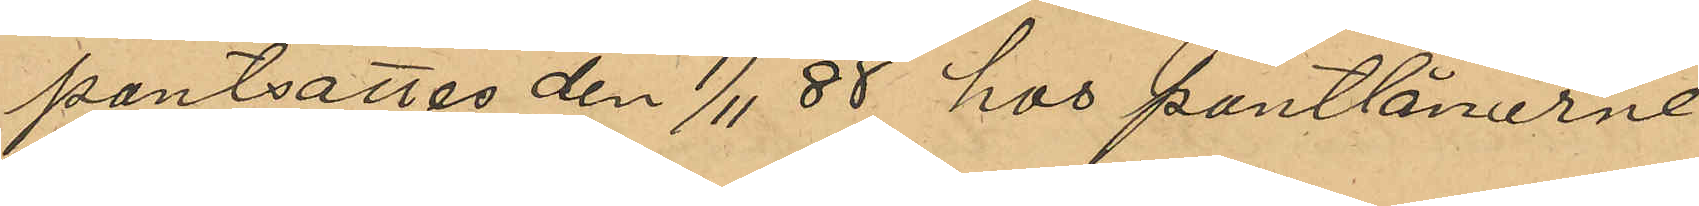pantsattes den 1/11 88 hos pantlånarne
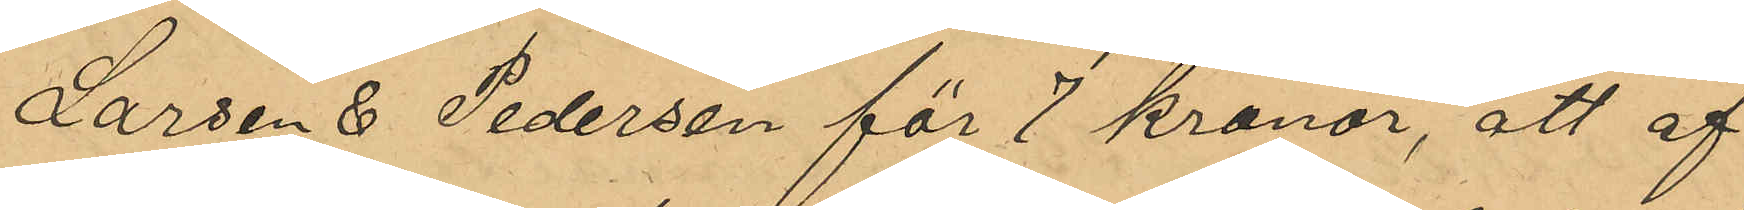Larsen & Pedersen för 7 Kronor, att af
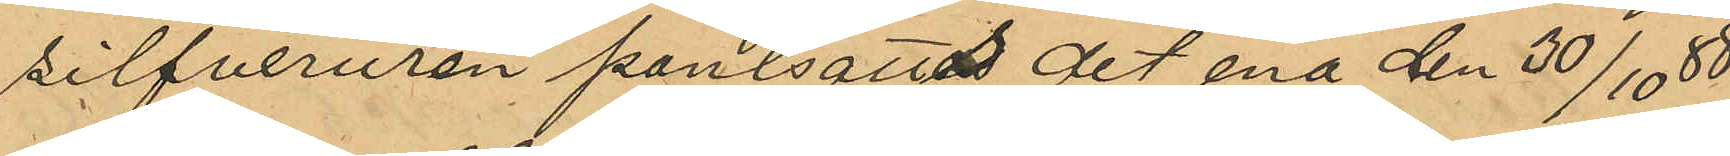silfveruren pantsatts det ena den 30/10 88
